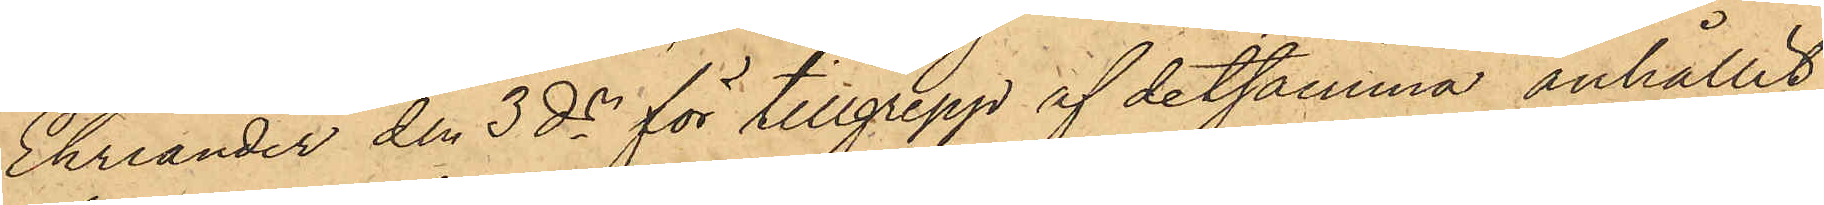Ehriander den 3 ds för tillgrepp af detsamma anhållit
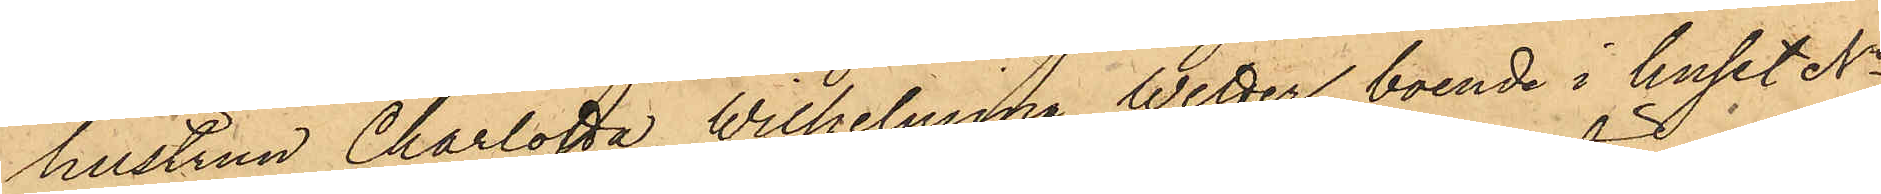hustrun Charlotta Wilhelmina Wetter, boende i huset No
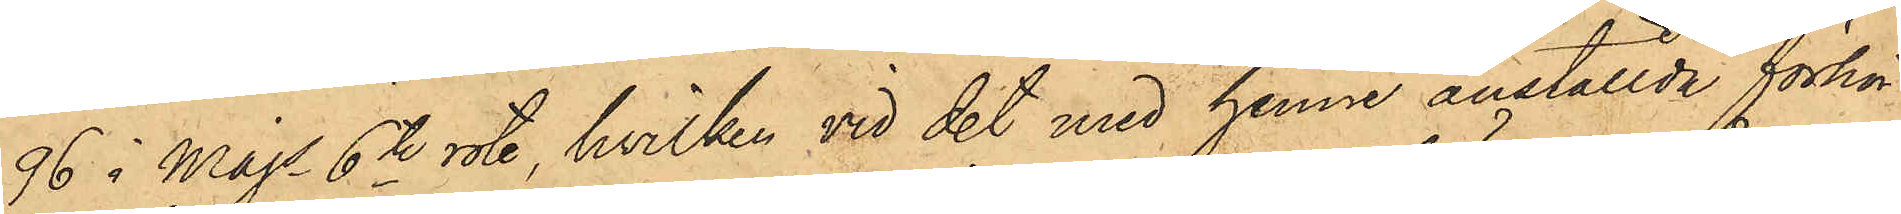96 i Majs 6te rote, hvilken vid det med henne anställda förhör
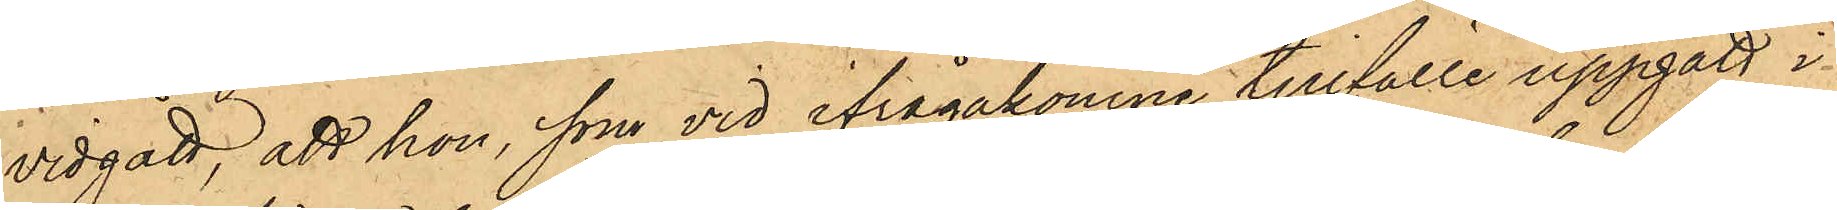vidgått, att hon, som vid ifrågakomne tillfälle uppgått i
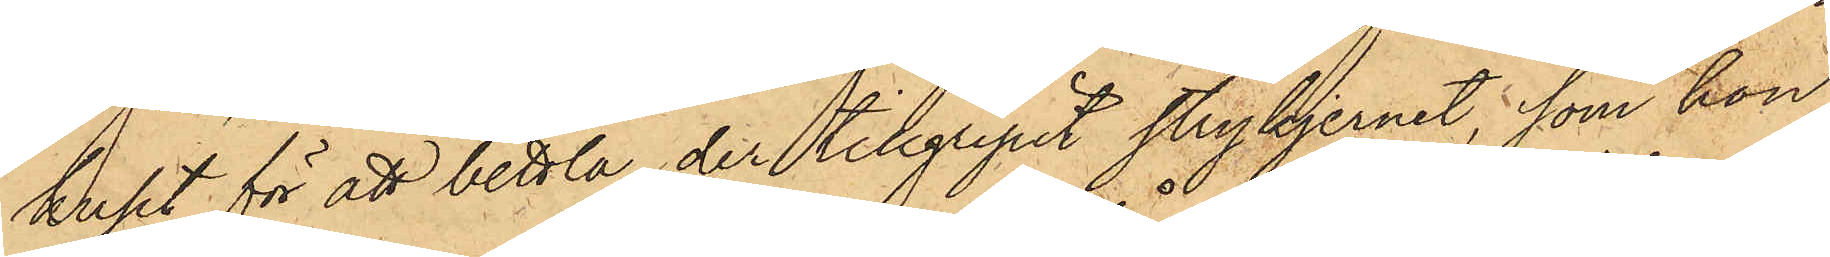huset för att bettla, der tillgripit strykjernet, som hon
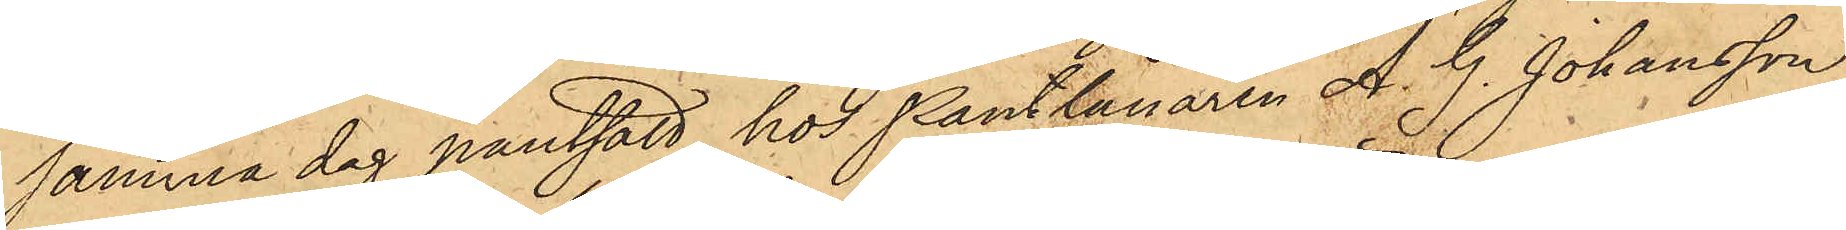samma dag pantsatt hos Pantlånaren A. G. Johansson
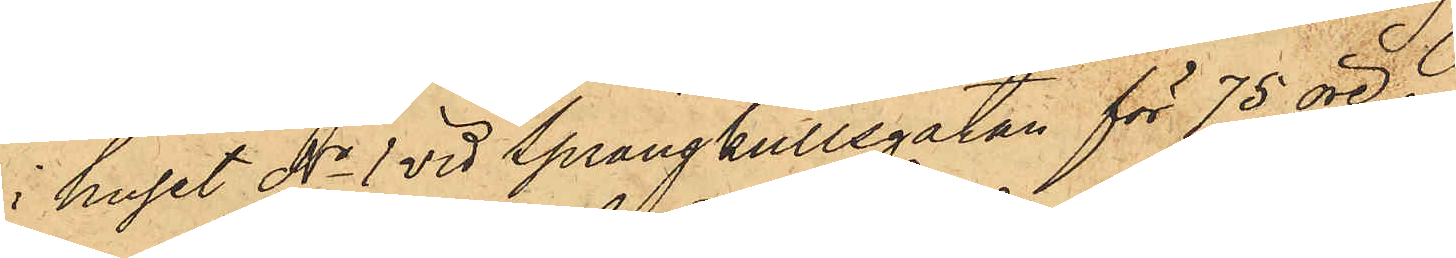i huset No 1 vid Sprängkullsgatan för 75 öre.
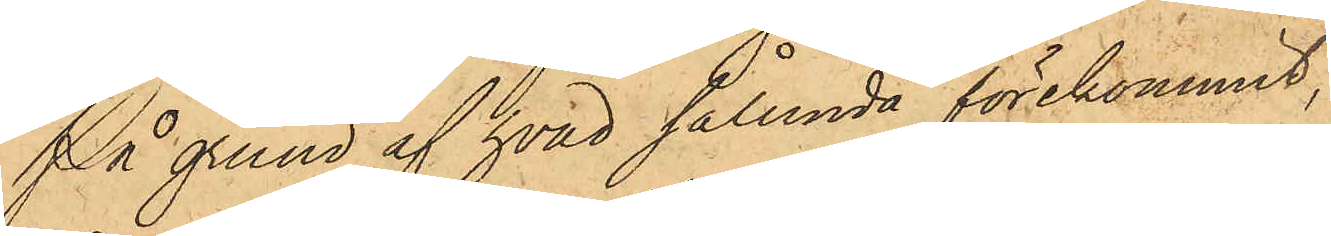På grund af hvad sålunda förekommit,
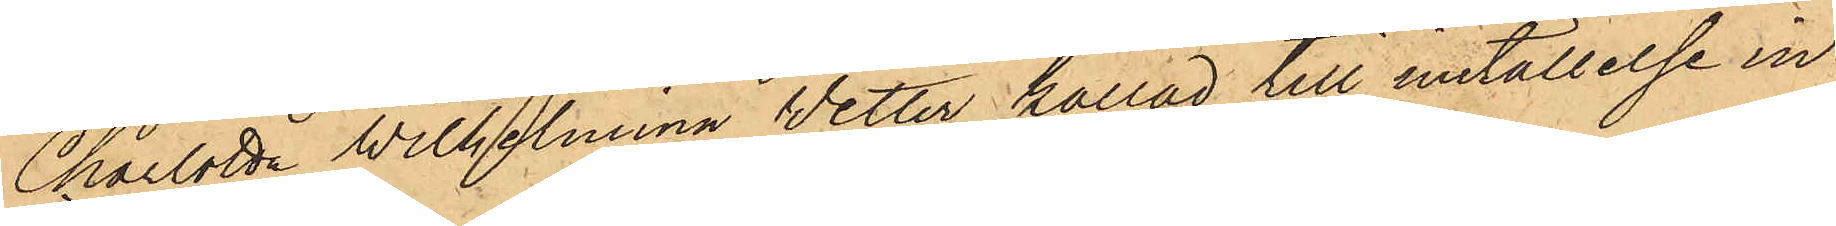Charlotta Wilhelmina Wetter kallad till inställelse in¬
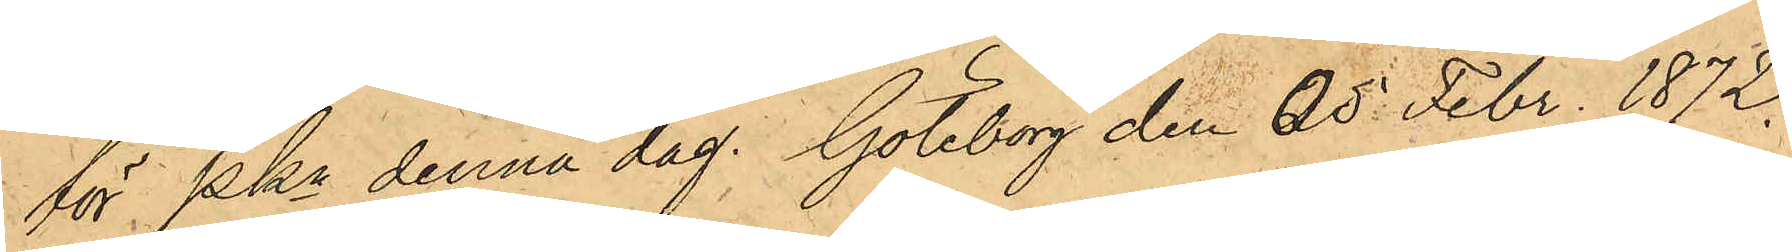för Pkn denna dag. Göteborg den 05 Febr. 1872.
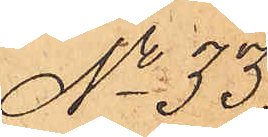No 33
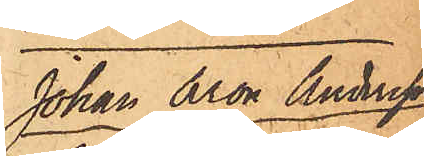Johan Aron Andersson
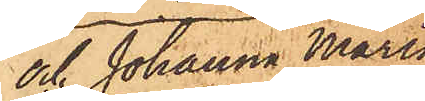och Johanna Maria
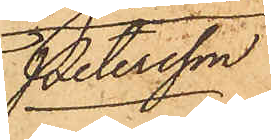Petersson
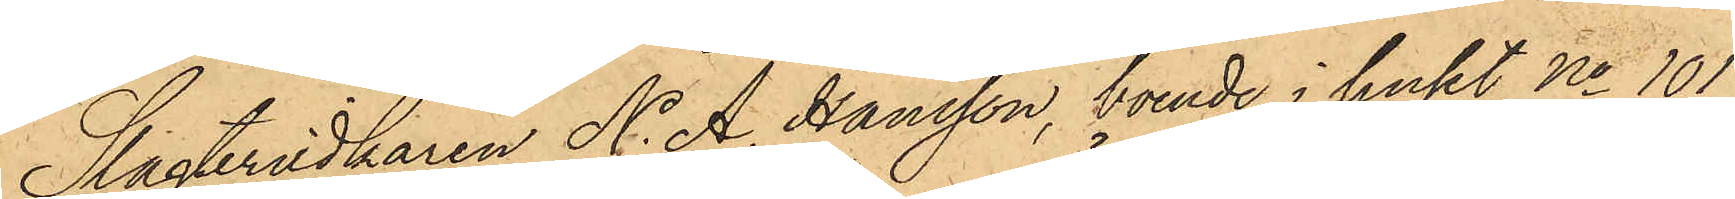Slagteridkaren N. A. Hansson, boende i huset No 101
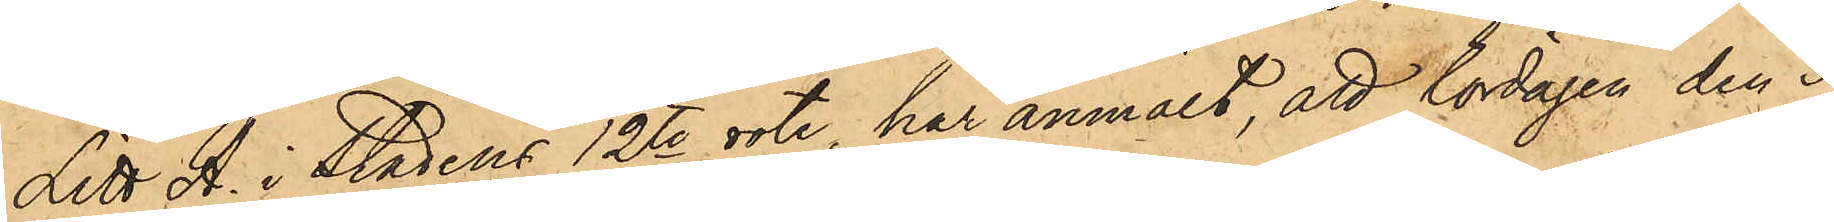Litt A. i Stadens 12te rote, har anmält, att Lördagen den 3
